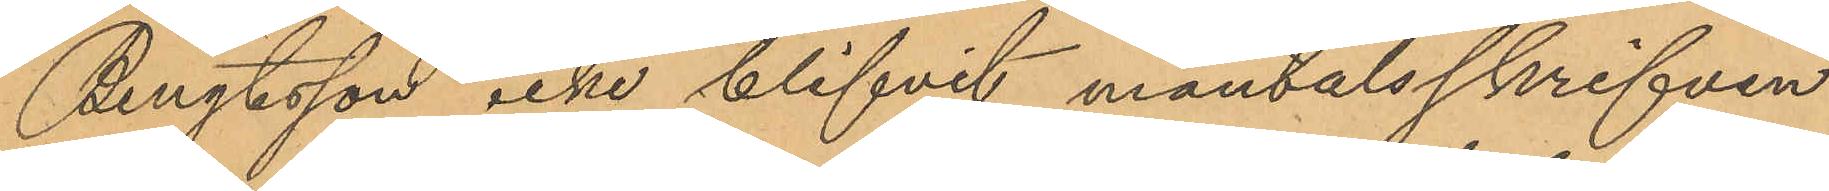Bengtsson icke blifvit mantalsskrifven
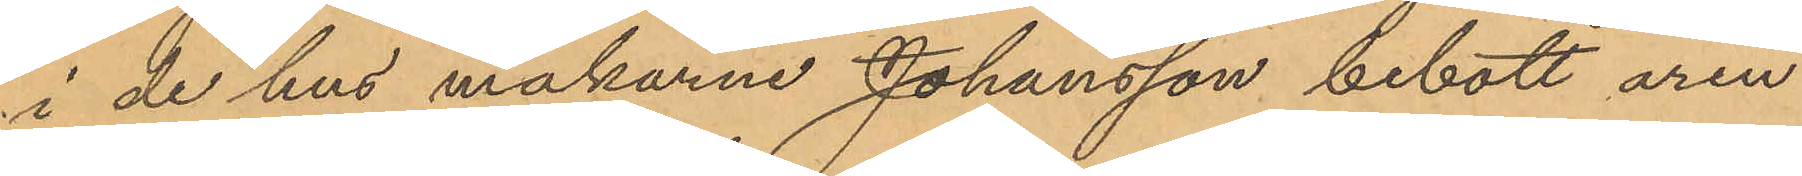i de hus makarne Johansson bebott åren
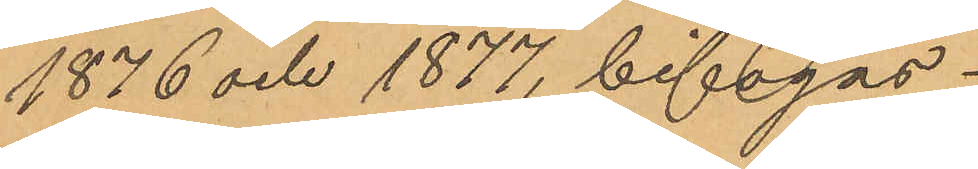1876 och 1877, bifogas.
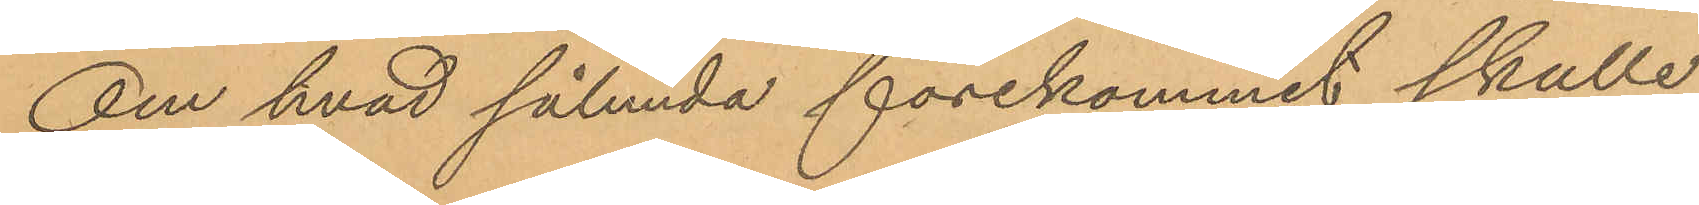Om hvad sålunda förekommit skulle
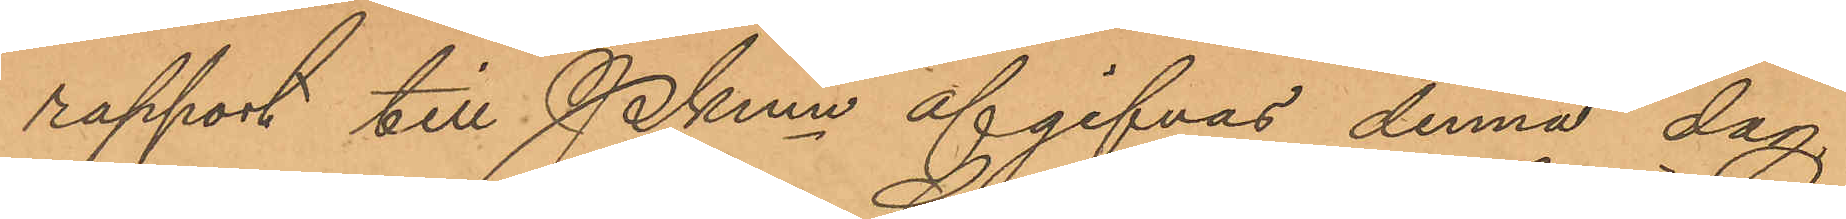rapport till Pkmn afgifvas denna dag,
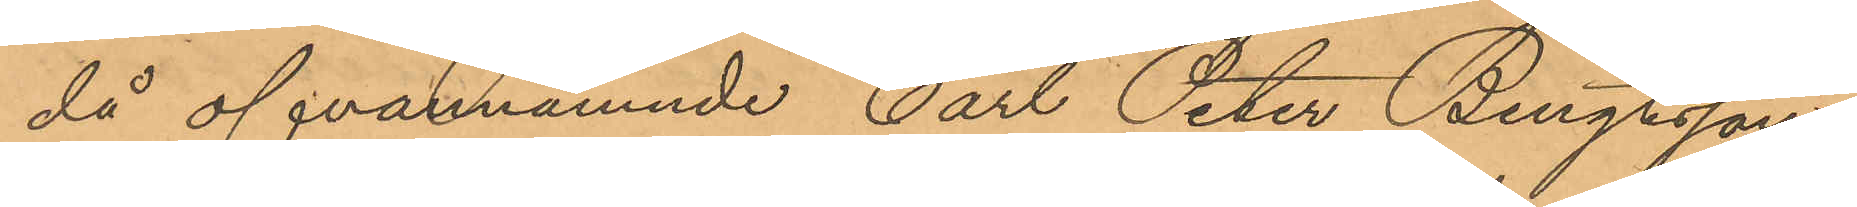då ofvannämnde Carl Peter Bengtsson
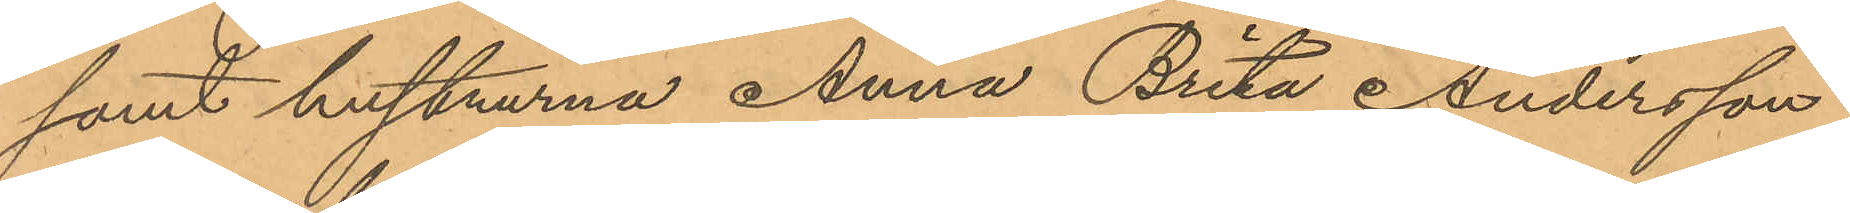samt hustrurna Anna Brita Andersson
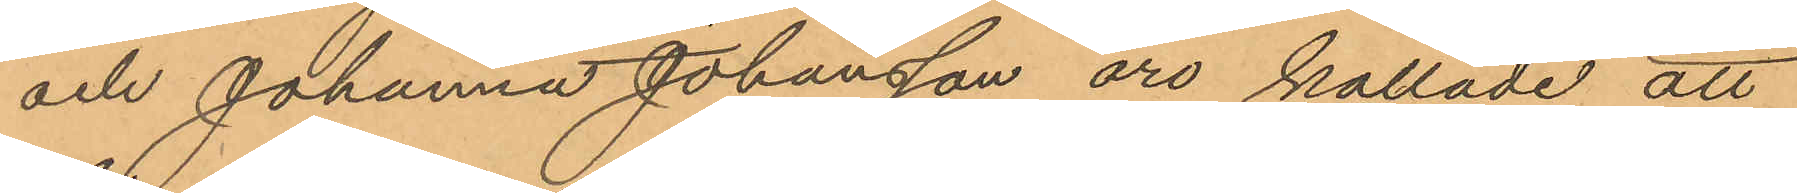och Johanna Johansson äro kallade att
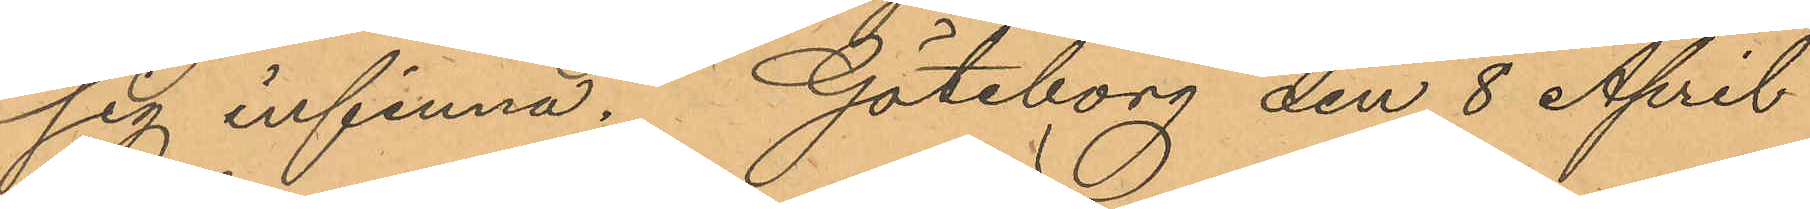sig infinna. Göteborg den 8 April
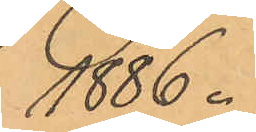1886.
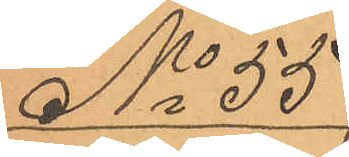No 55
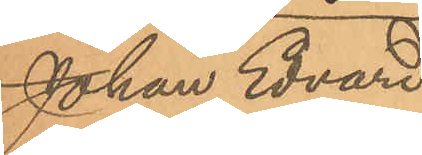Johan Edvard
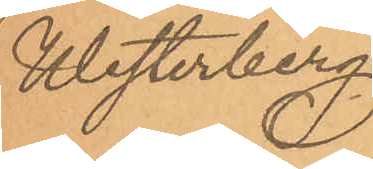Westerberg.
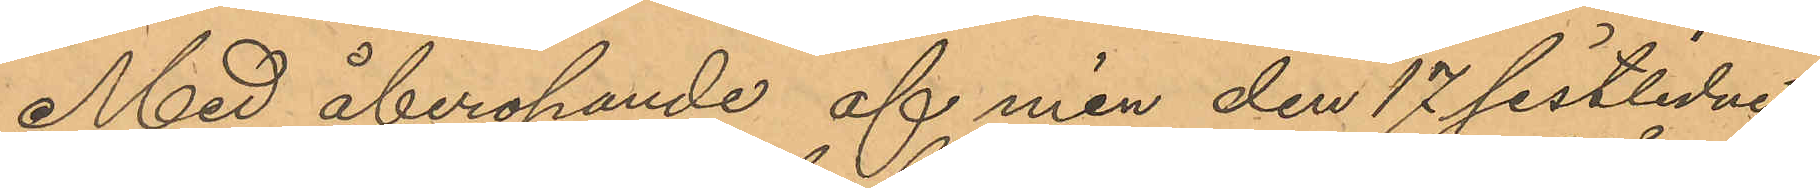Med åberopande af min den 17 sistlidne
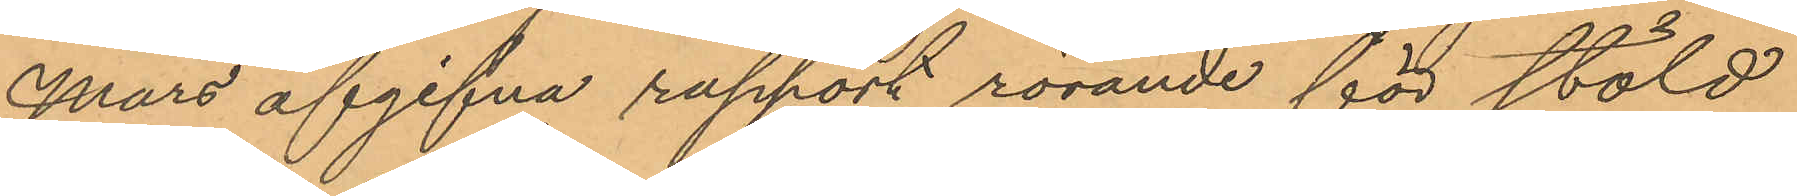Mars afgifna rapport rörande för stöld
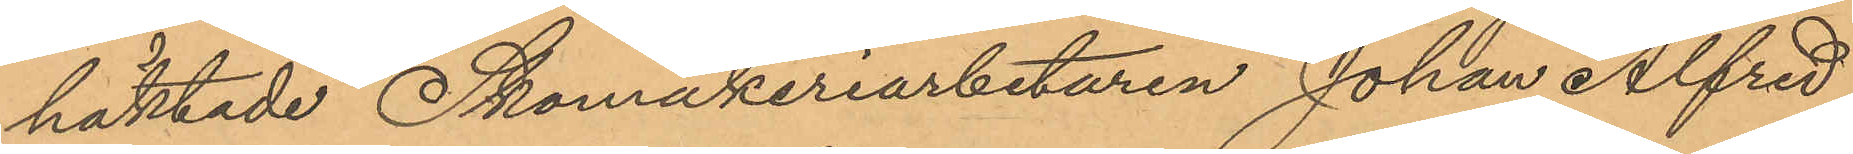häktade Skomakeriarbetaren Johan Alfred
